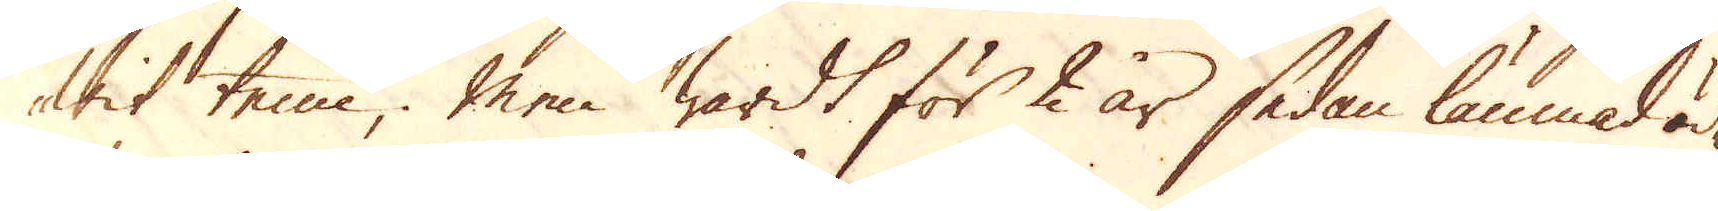wit tenn, men wardt för 2 år sedan lämnad öde
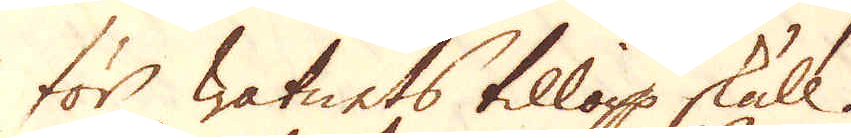för watnets tillopp skull.
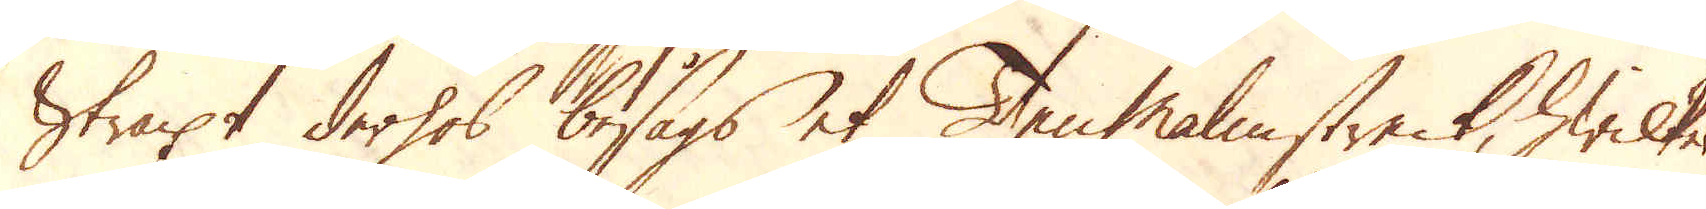Straxt derhos besågs et Tenmalmstreck, hwilket
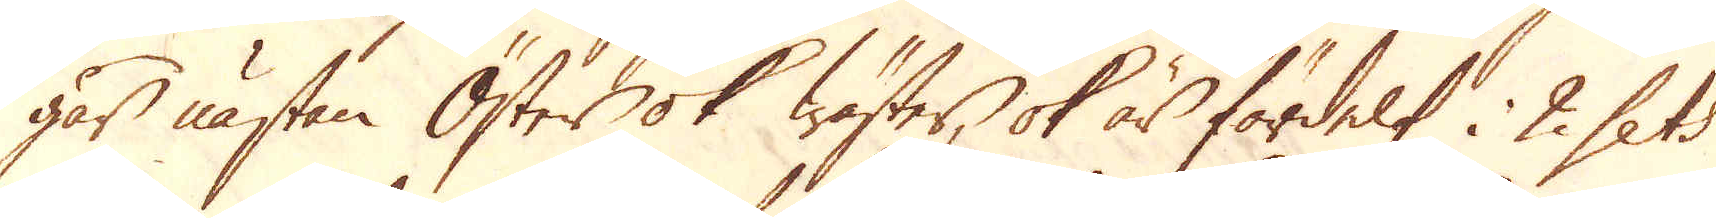går nästan Öster ok Wäster, ok är fördelt i 2 sets
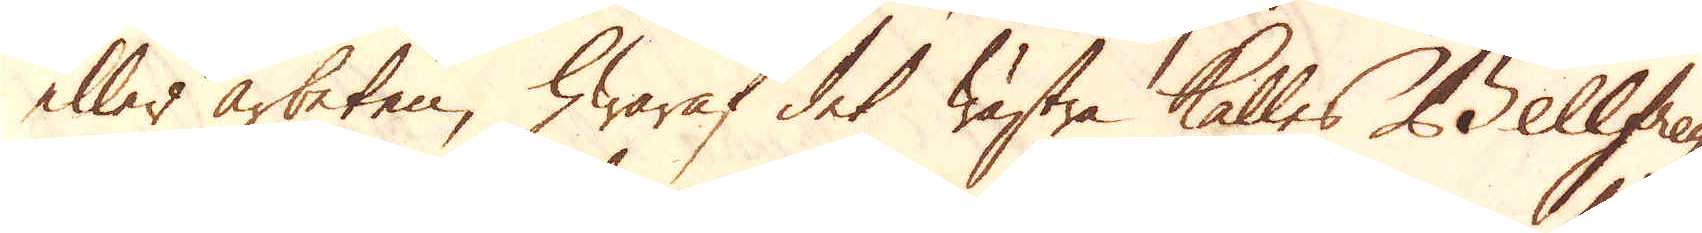eller arbeten, hwaraf det wästra kalles Bellfrey,
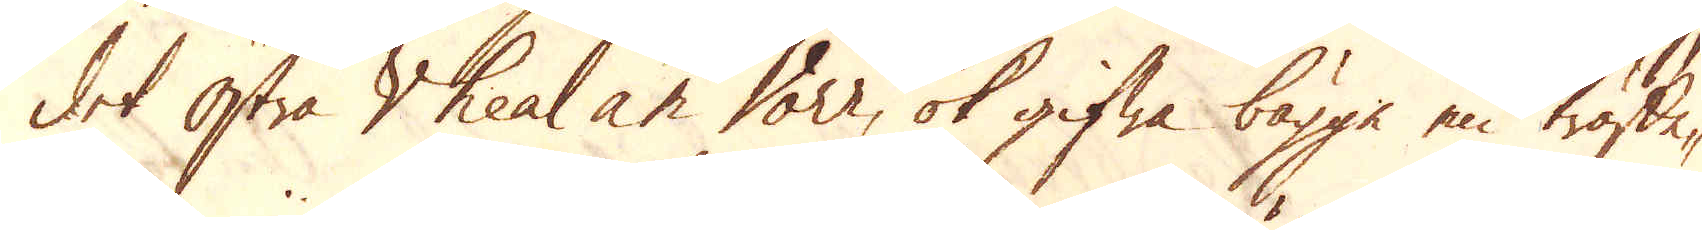det Östra Vheal an Vorr, ok gifwa bägge en träffe-
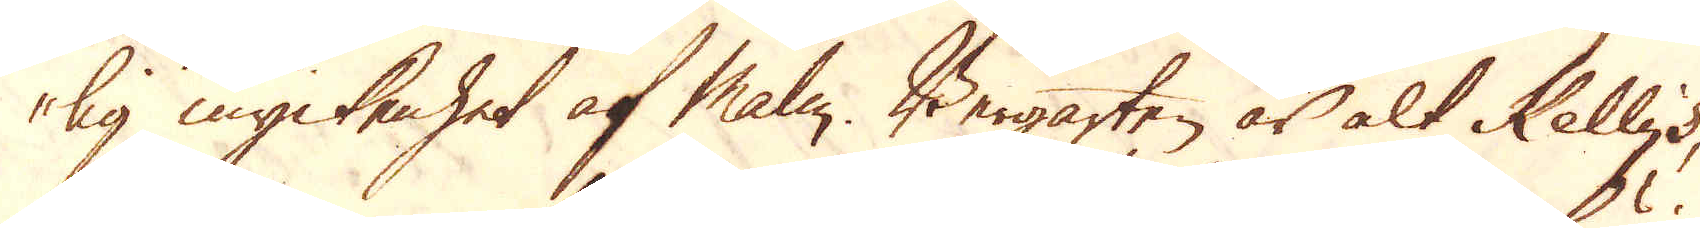lig myckenhet af Malm. Bergarten är alt Kelly's,
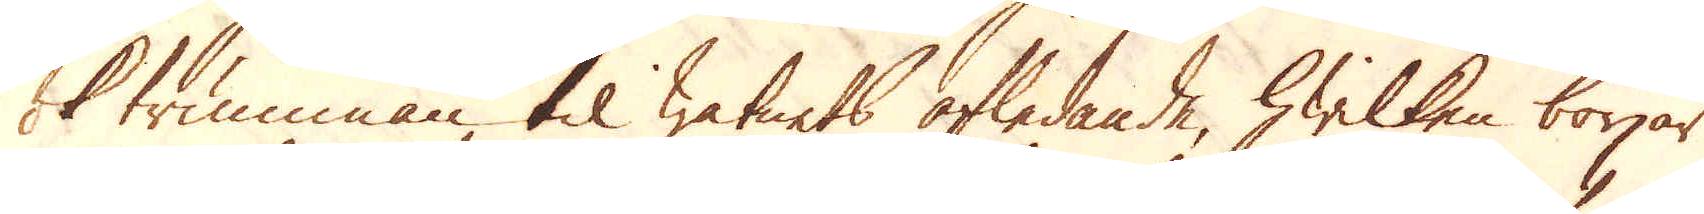ok trumman til watnets afledande, hwilken börjar
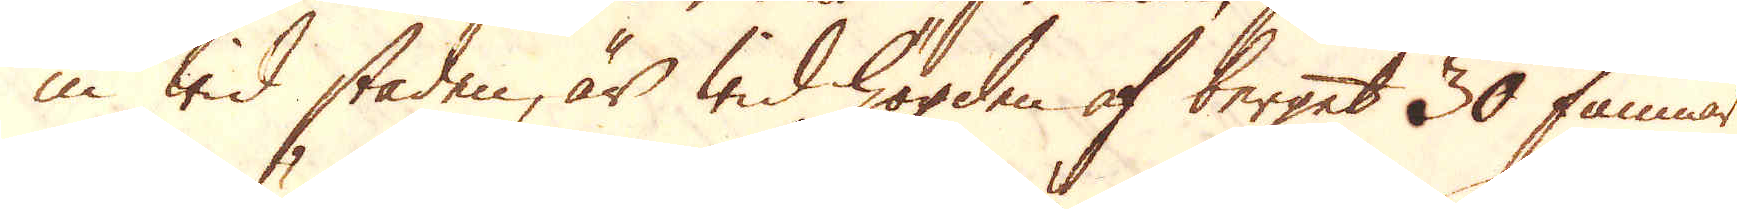in wid staden, är wid högden af berget 30 famnar
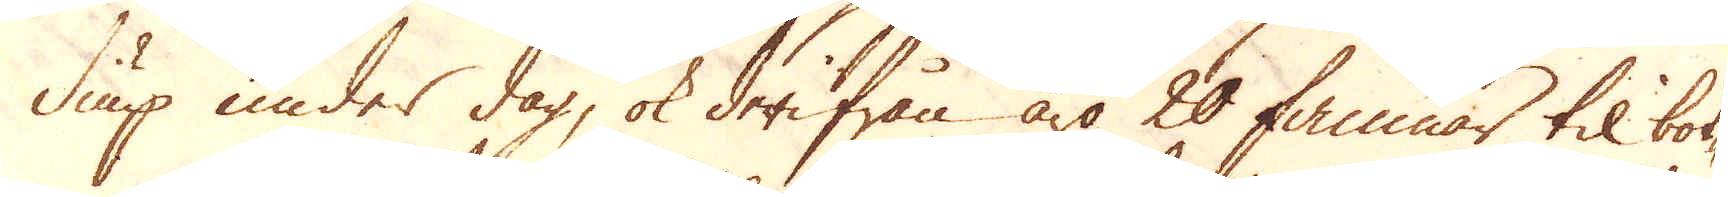diup under dag, ok derifrån äro 20 famnar til bot-
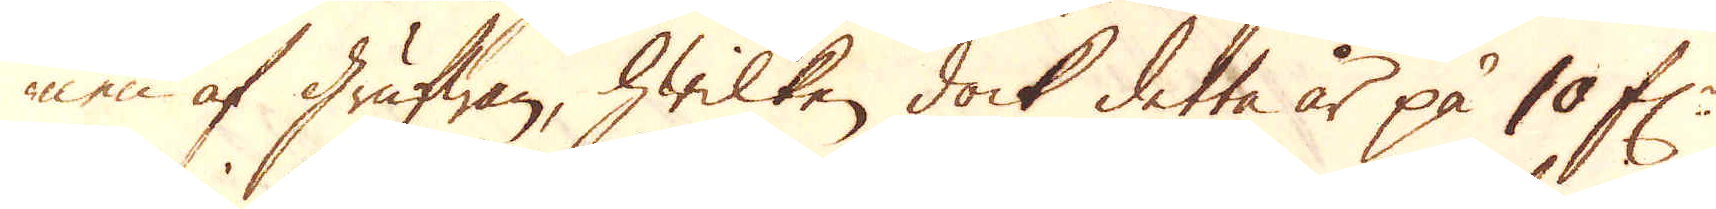nen af grufwan, hwilken dock detta år på 10 f:r
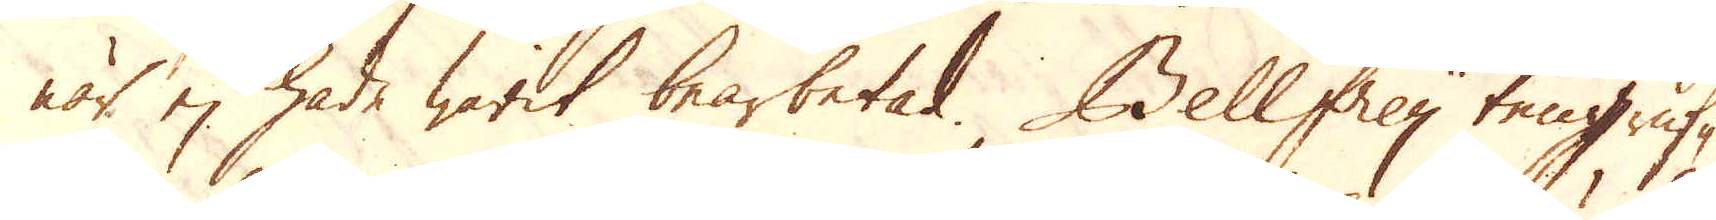när ej hade warit bearbetad. Bellfrey tengruf-
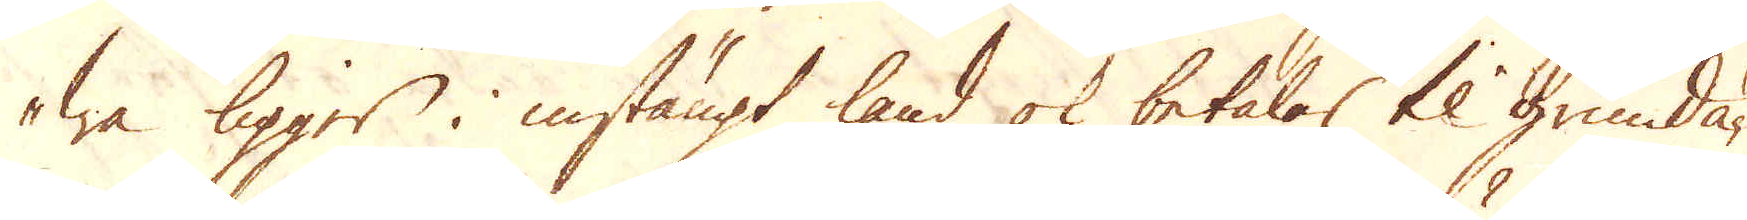wa ligger i instängt land ok betalas til grundä-
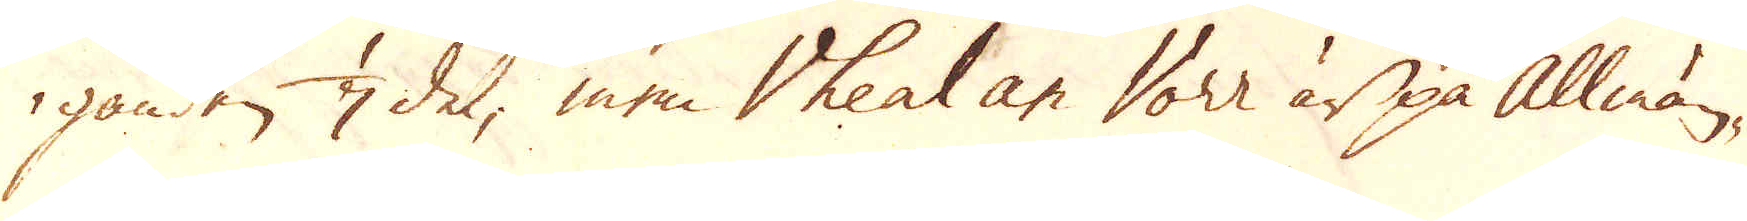ganden 1/7 del, men Vheal an Vorr är på allmän-
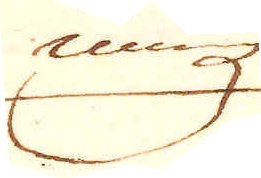ning
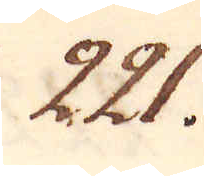221.
